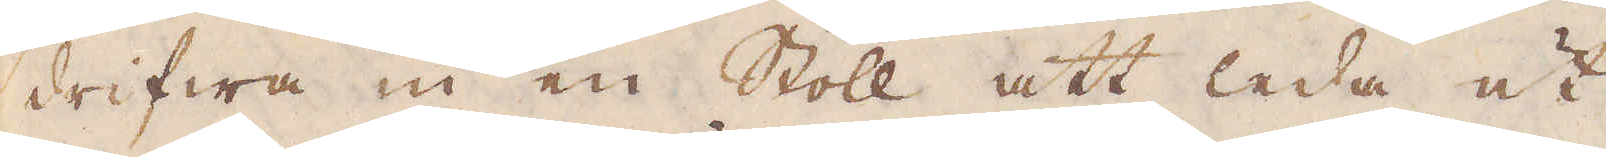drifwa in en Stoll att leda ut
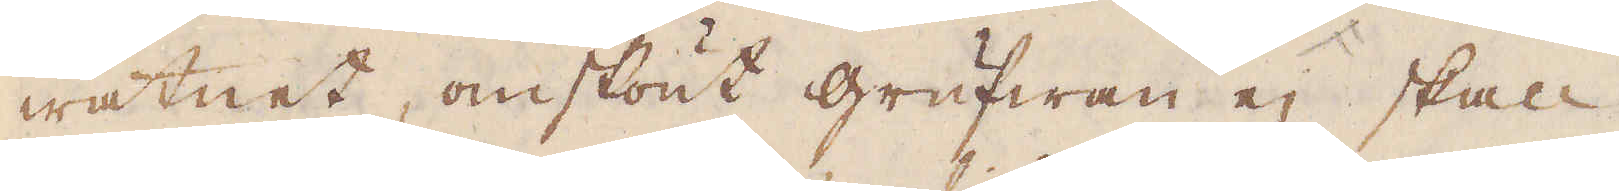watnet, omskönt grufwan ej skall
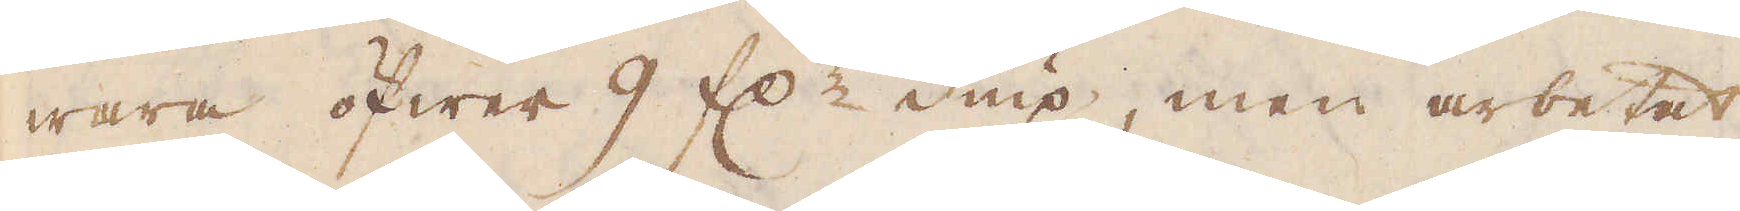wara öfwer 9 f:r diup, men arbetat
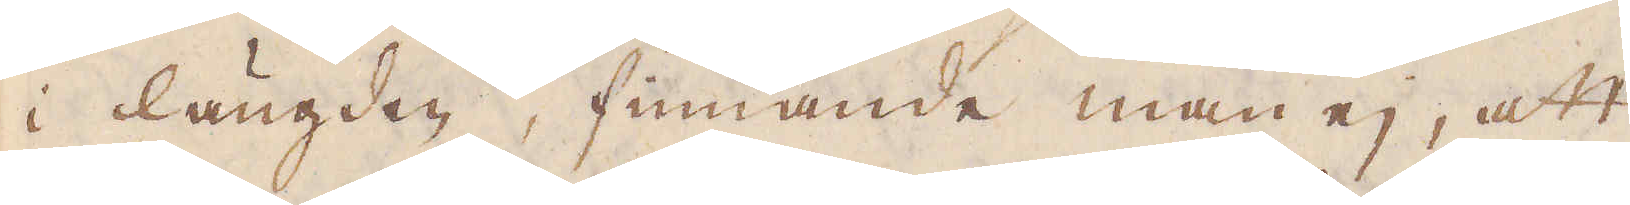i längden, finnande man ej, att
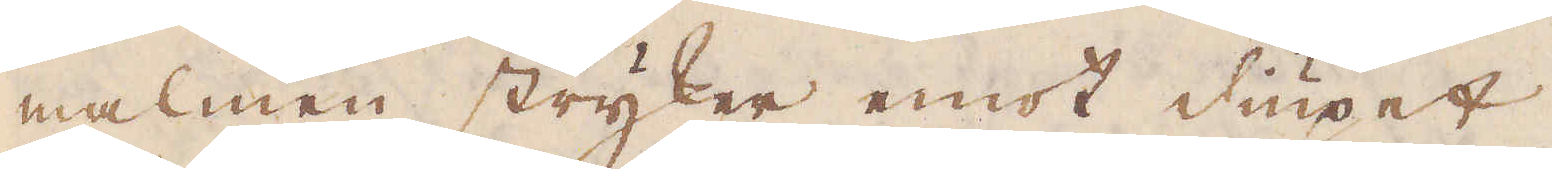malmen stryker emot diupet.
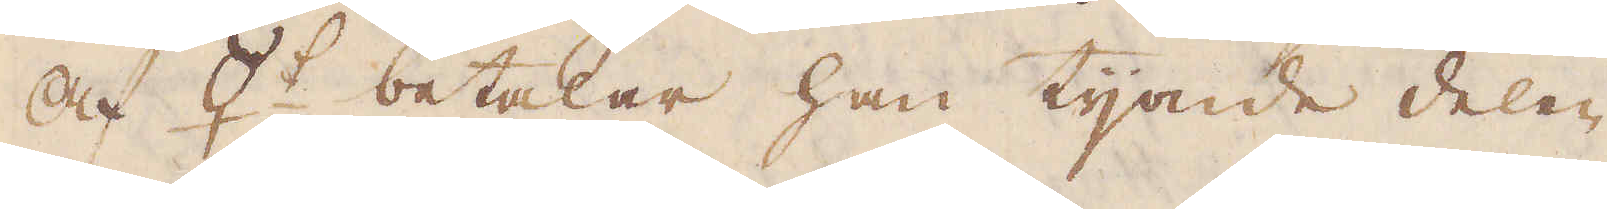Af ☿:t betalar han tijonde delen
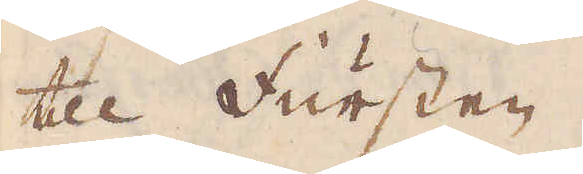till Fursten.
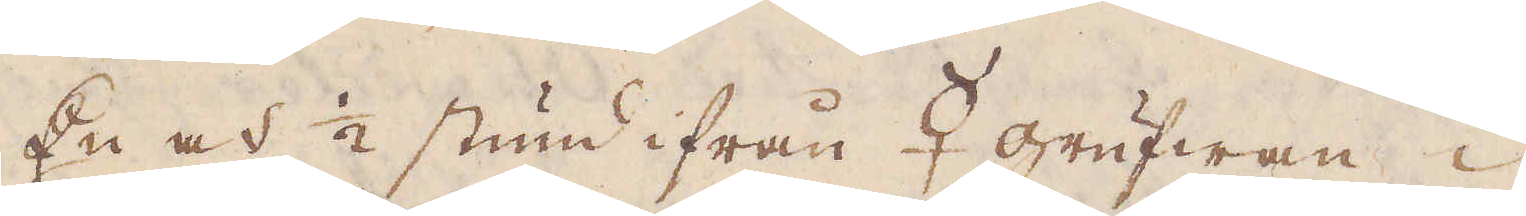En och 1/2 stund ifrån ☿ grufwan i
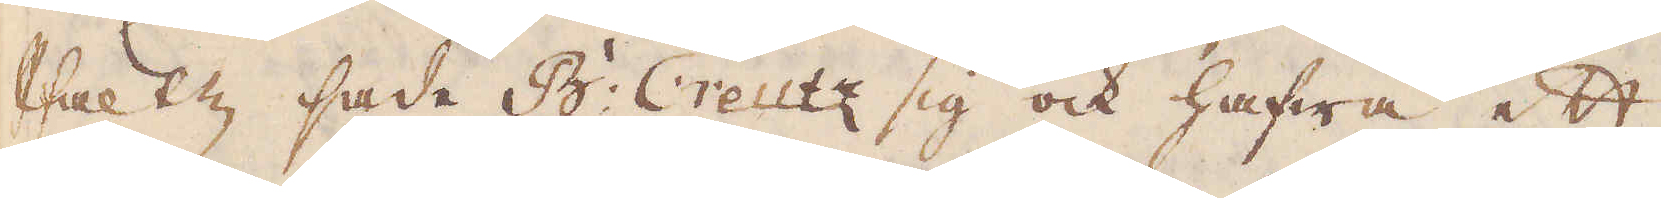Pfaltz sade B: Creutz sig ock hafwa ett
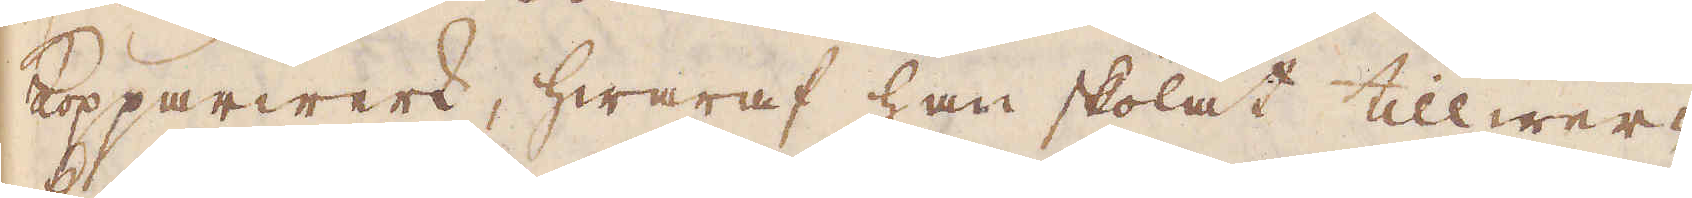Kopparwerk, hwaraf han skolat tillwer-
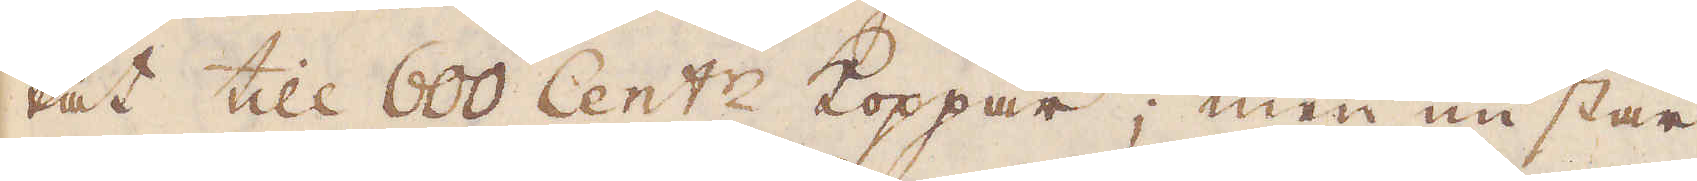kat till 600 Cent:r Koppar; men nu står
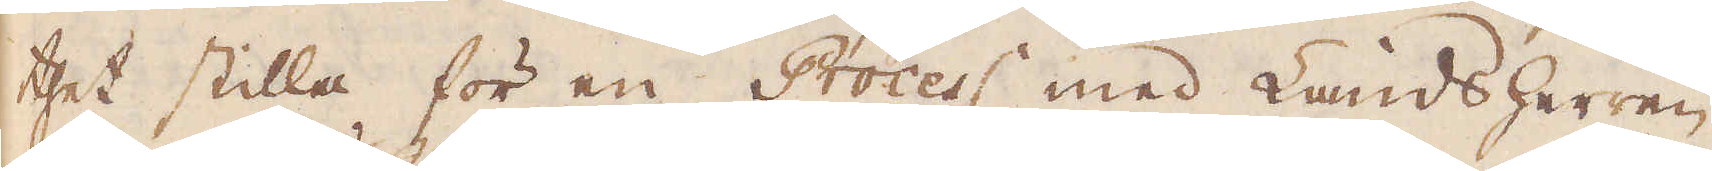thet stilla för en Process med Landsherren.
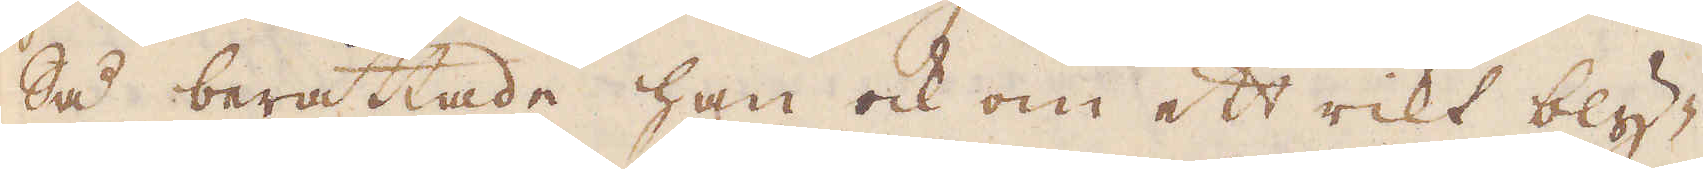Så berättade han ock om ett rikt bly-
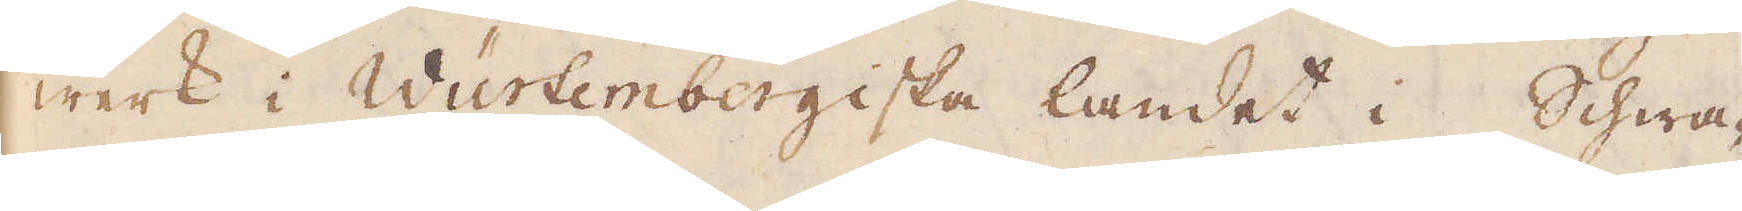werk i Würtembergiska landet i Schwa-
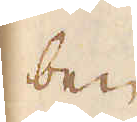ben.
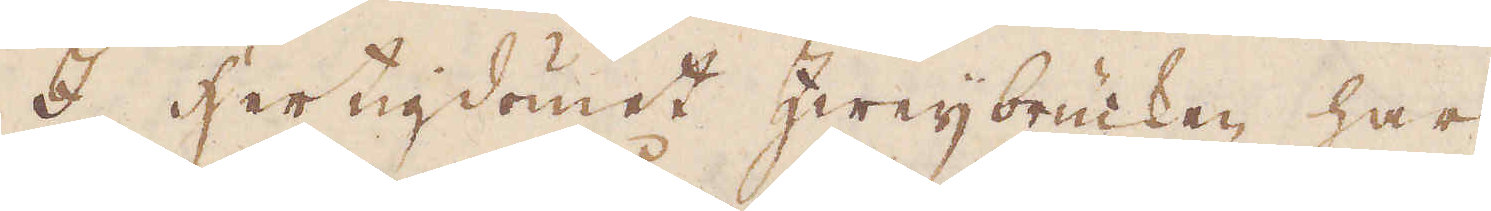I hertigdömet Zweijbrucken har
